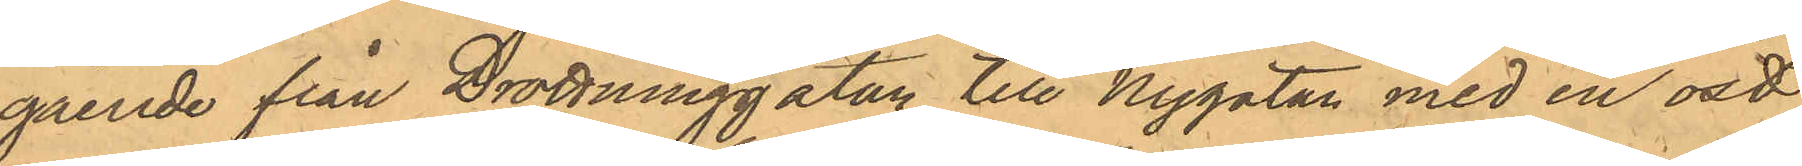gående från Drottninggatan till Nygatan med en ost
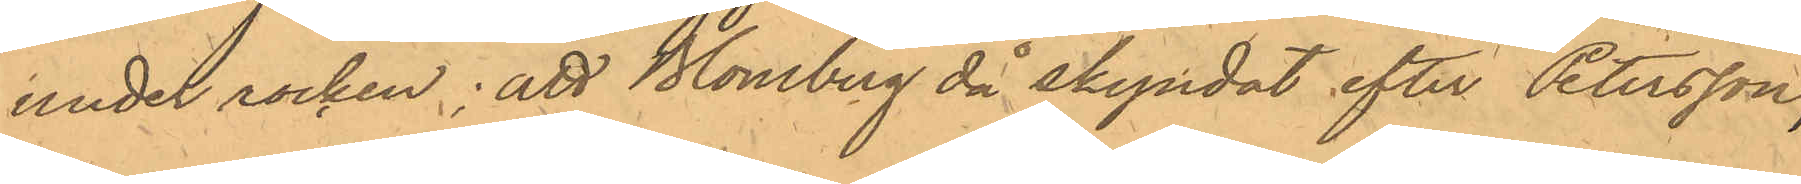under rocken; att Blomberg då skyndat efter Petersson,
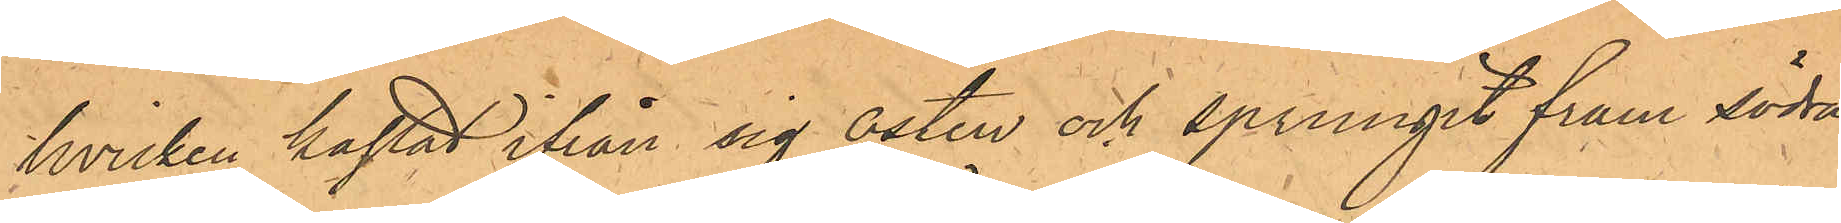hvilken kastat ifrån sig osten och sprungit fram södra
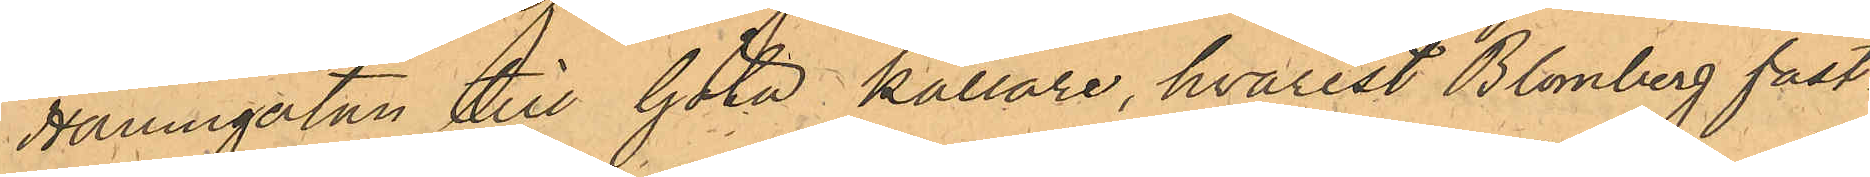Hamngatan till Göta Källare, hvarest Blomberg fast¬
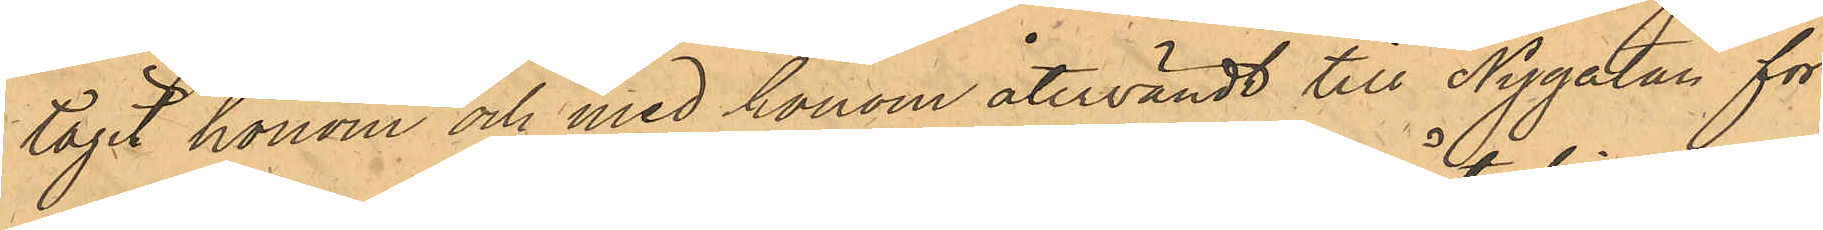tagit honom och med honom återvändt till Nygatan för
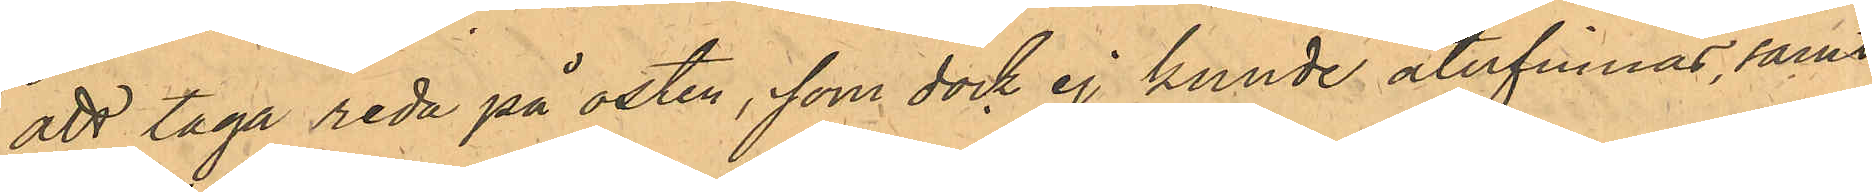att taga reda på osten, som dock ej kunde återfinnas, samt
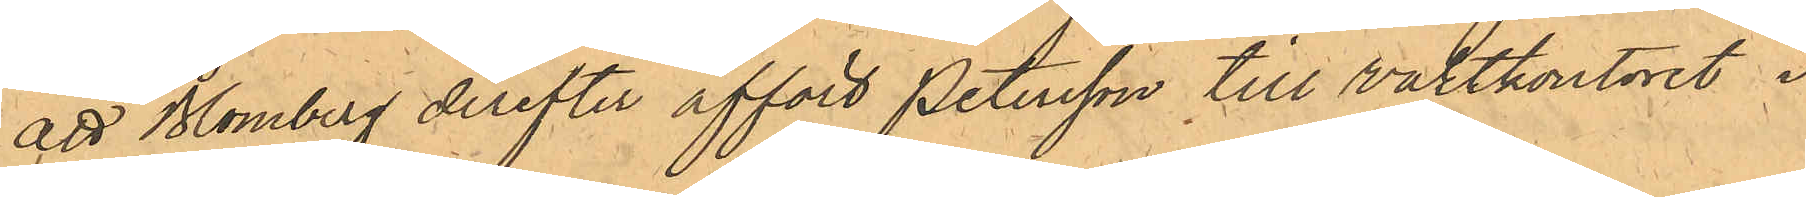att Blomberg derefter affört Petersson till vaktkonoret i
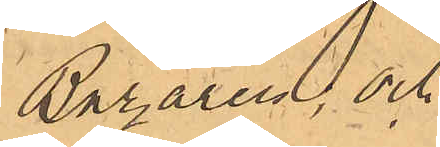Bazaren; och
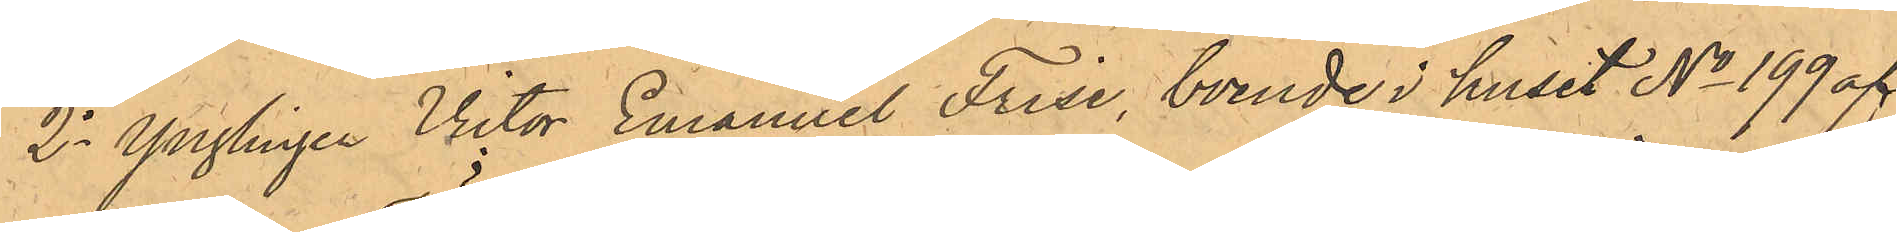2o Ynglingen Victor Emanuel Frise, boende i huset No 199 af
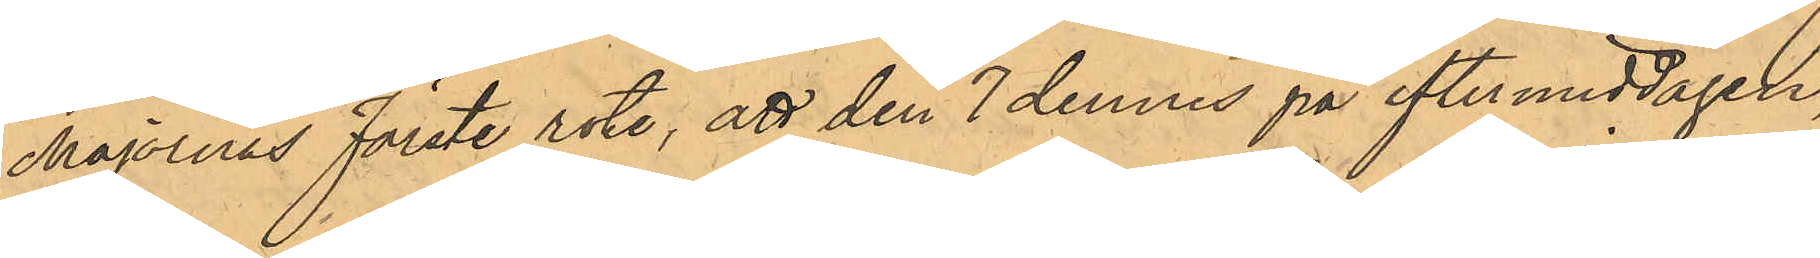Majornas Förste rote, att den 7 dennes på eftermiddagen,
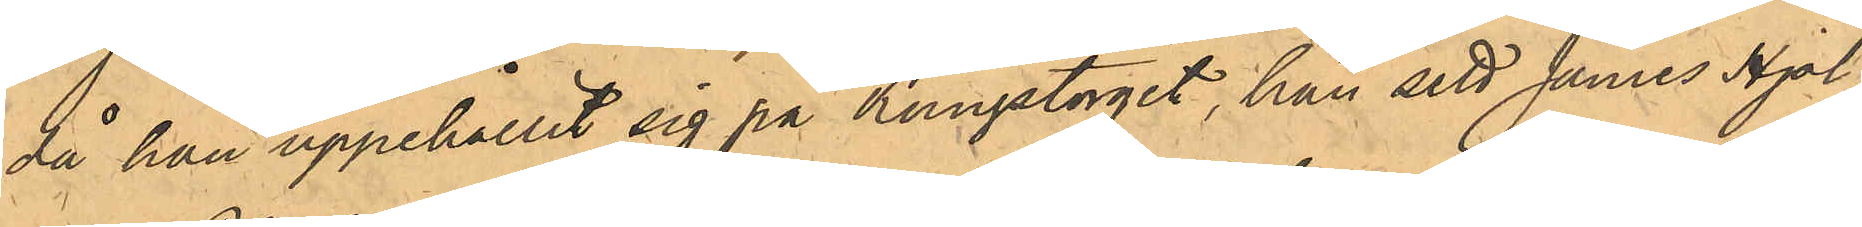då han uppehållit sig på Kungstorget, han sett James Hjal¬
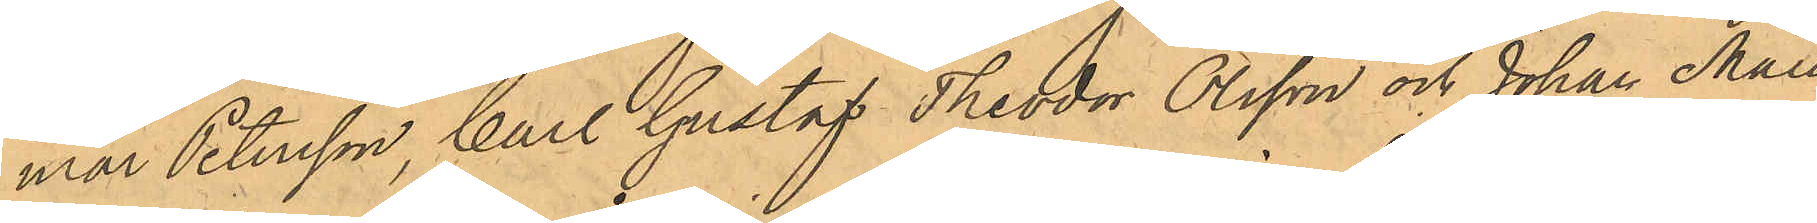mar Petersson, Carl Gustaf Theodor Olsson och Johan Mau¬
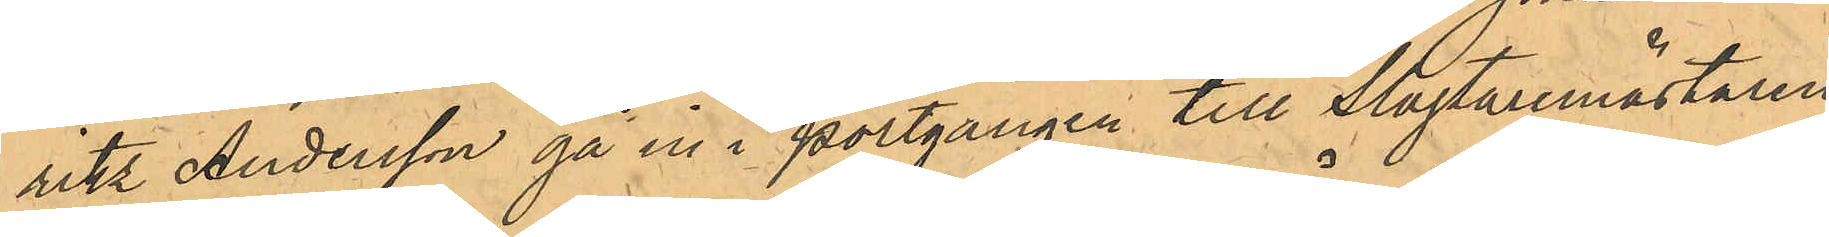ritz Andersson gå in i portgången till Slagtaremästaren
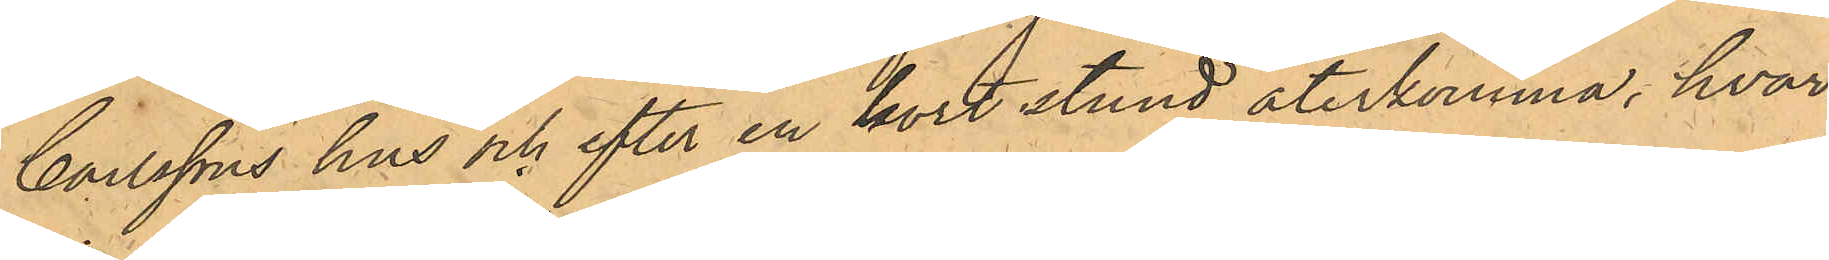Carlssons hus och efter en kort stund återkomma, hvar¬
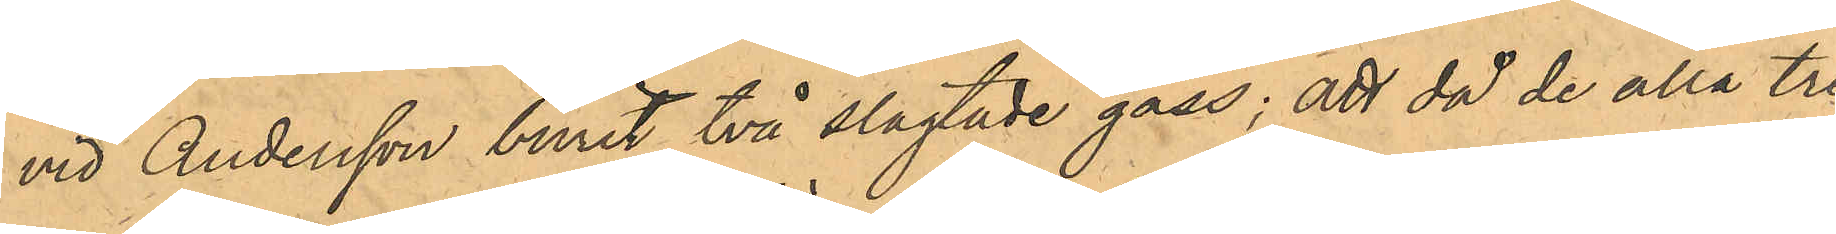vid Andersson burit två slagtade gäss; att då de alla tre
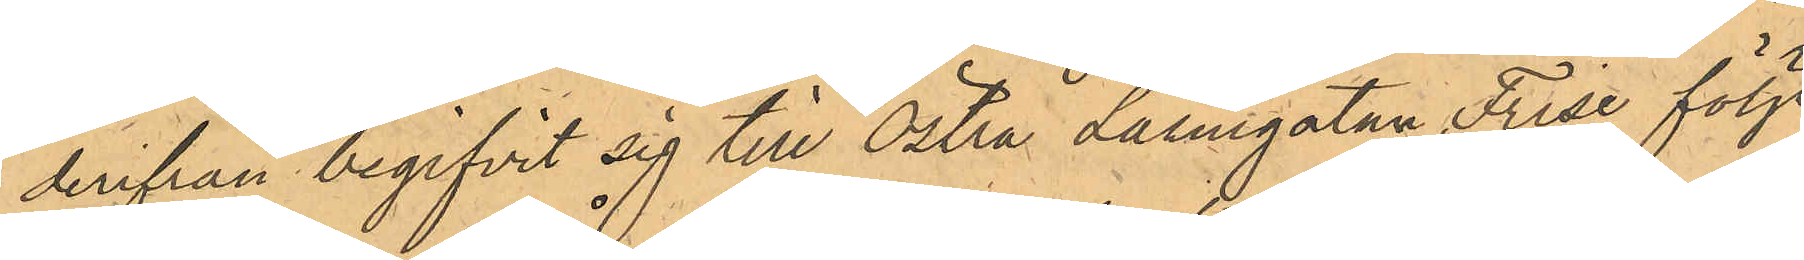derifrån begifvit sig till Östra Larmgatan, Frise följt
